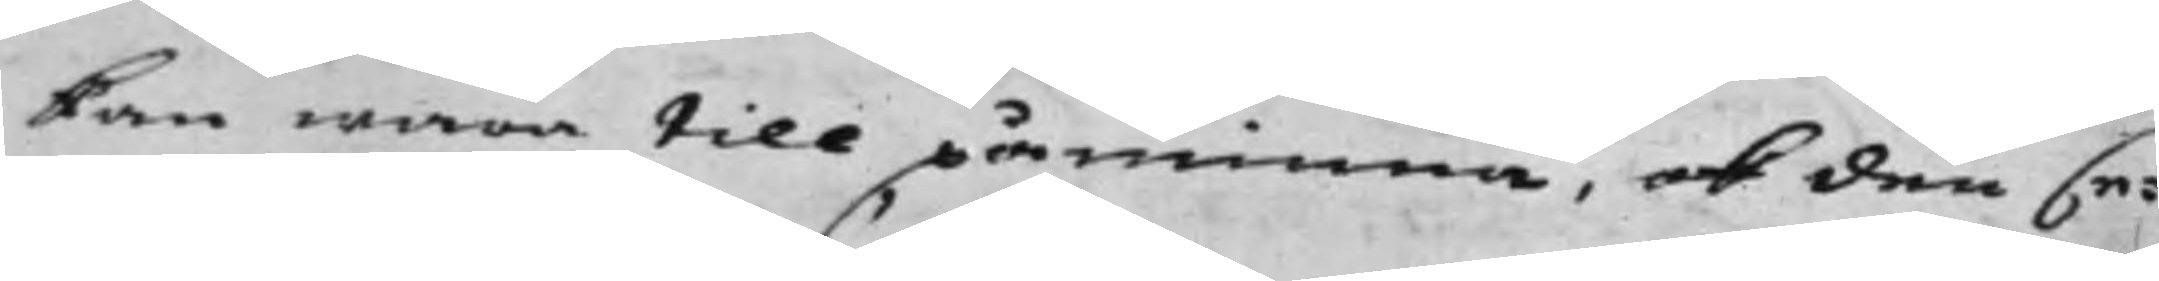kan wara till påminna, ok den se¬
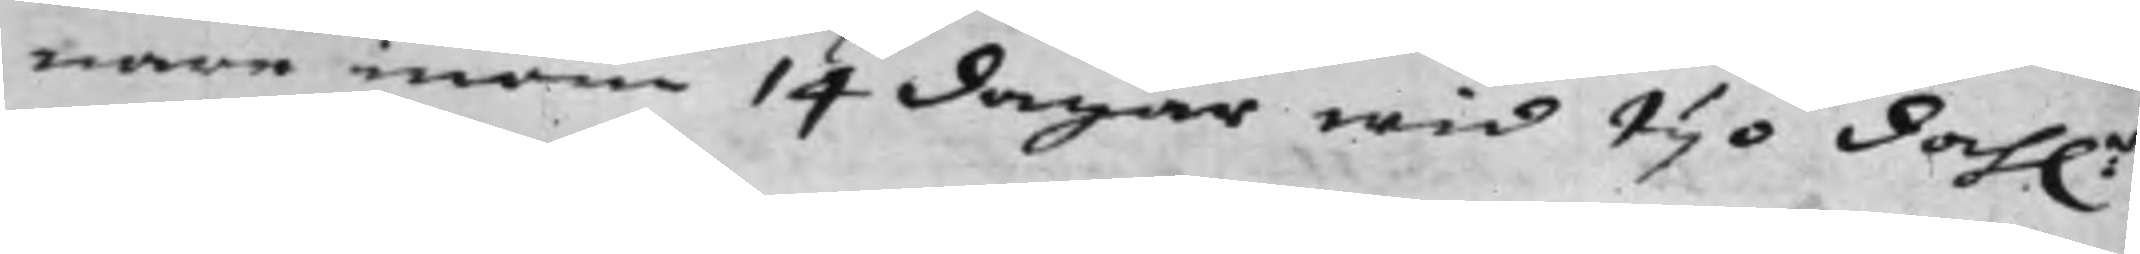nare inom 14 dagar wid tijo Dah:r
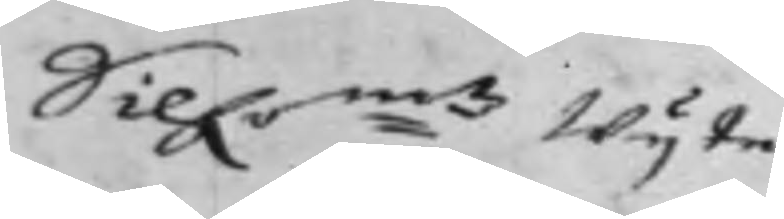Silf:mtz Wijte.
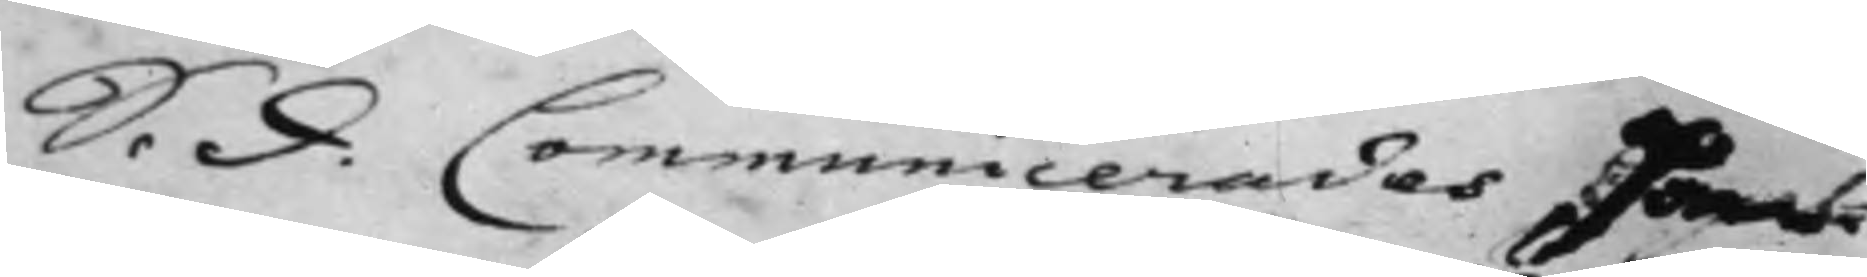S. d. Communicerades Han¬
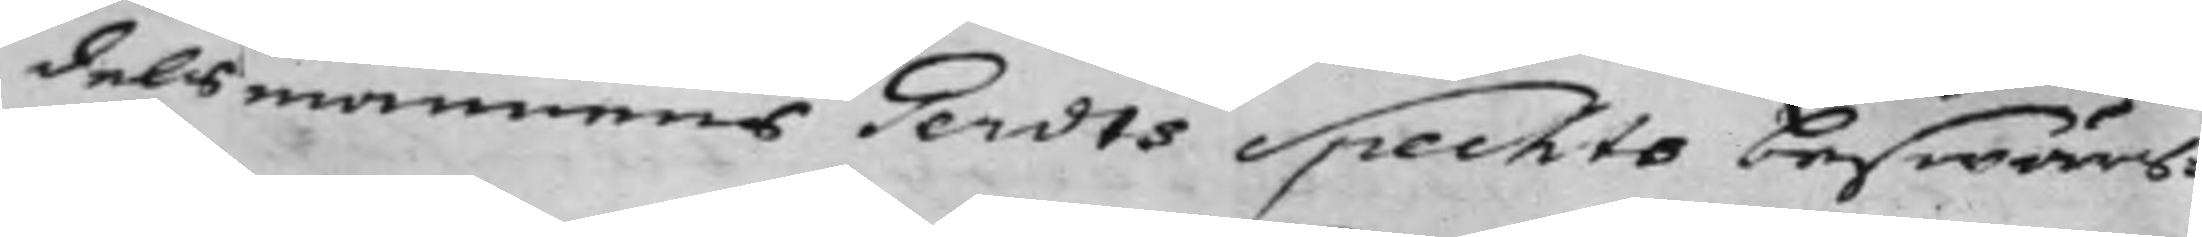delsmannens Gerdts Spechts beswärs¬
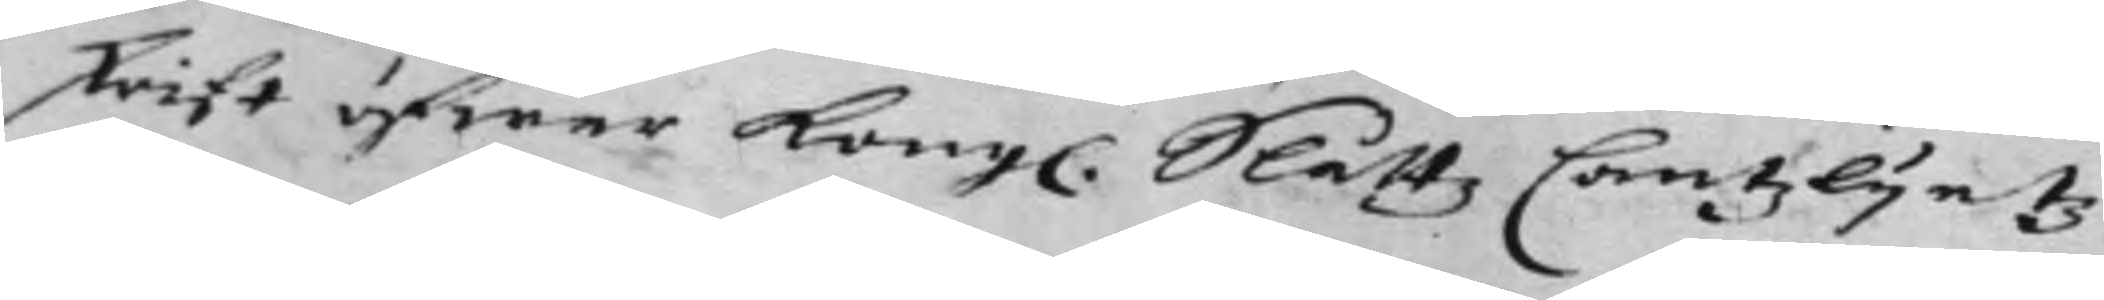skrift öfwer Kong. Slåttz Cantzlijetz
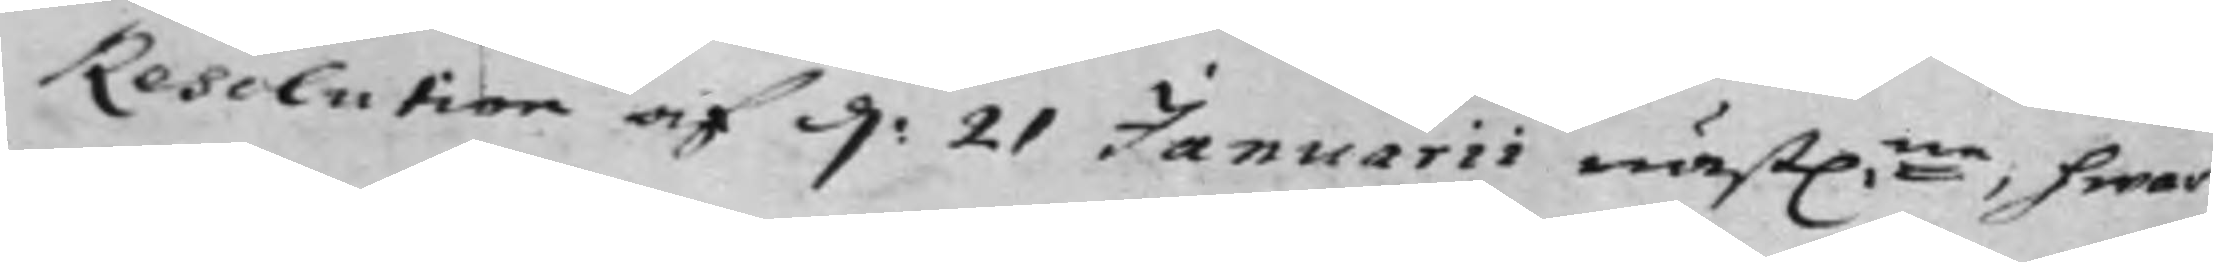Resolution af d: 21 Januarii Näst:ne, hwar¬
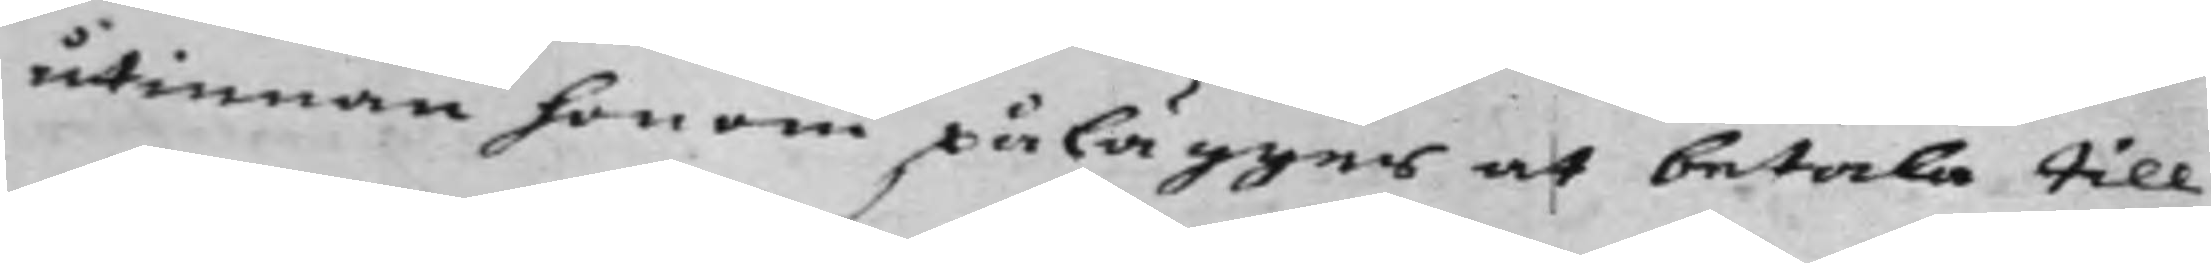utinnan honom pålägges at betala till
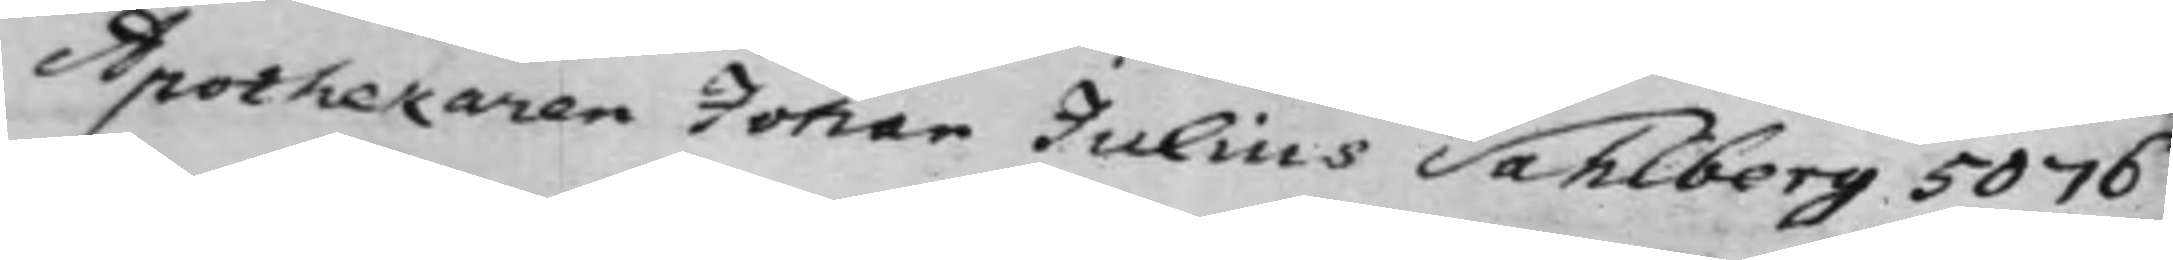Apothekaren Johan Julius Sahlberg 5076
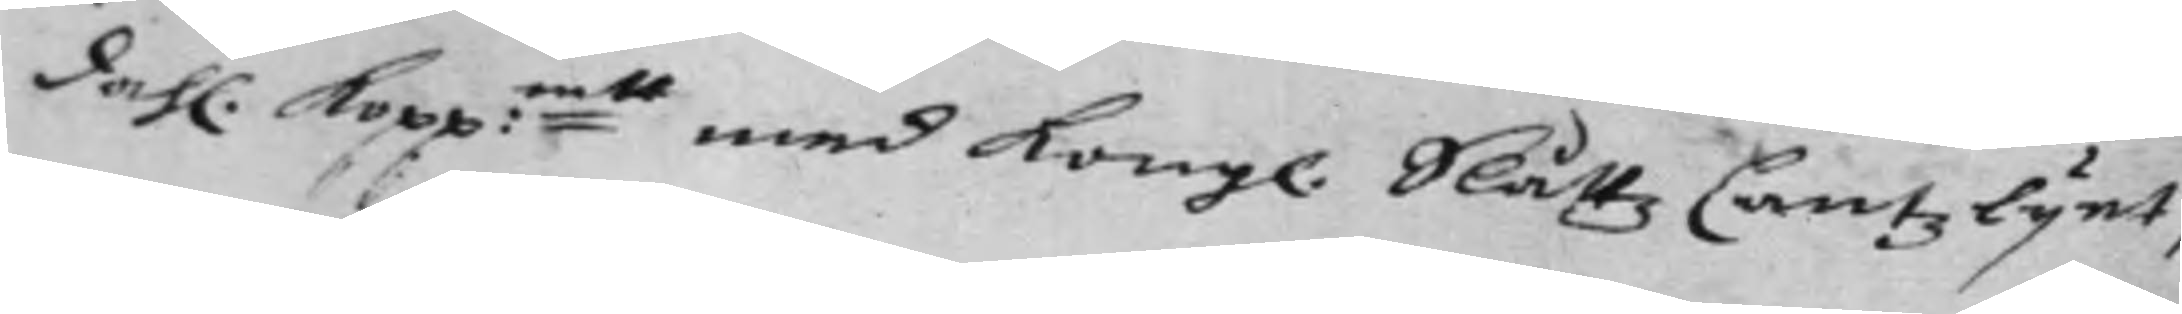dahl. Kopp:mtt med Kongl. Slåttz Cantzlijet,
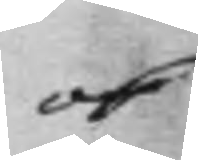ok
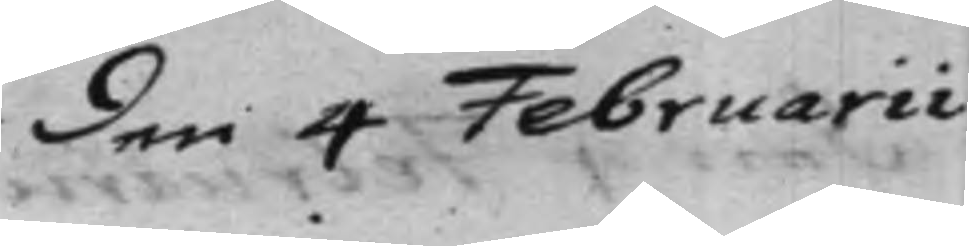den 4 Februarii
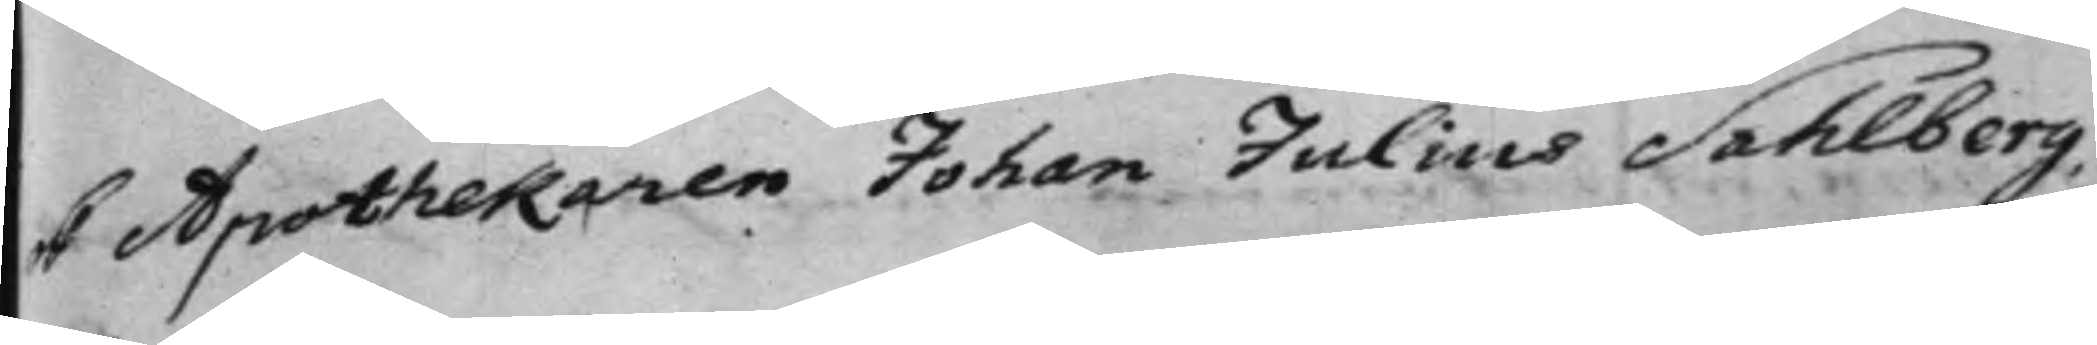ok Apothekaren Johan Julius Sahlberg.
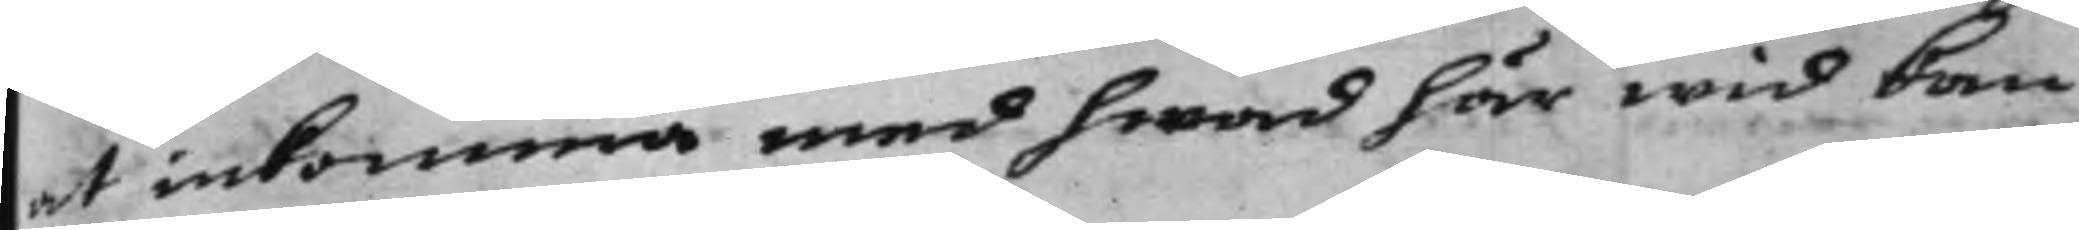at inkomma med hwad här wid kan
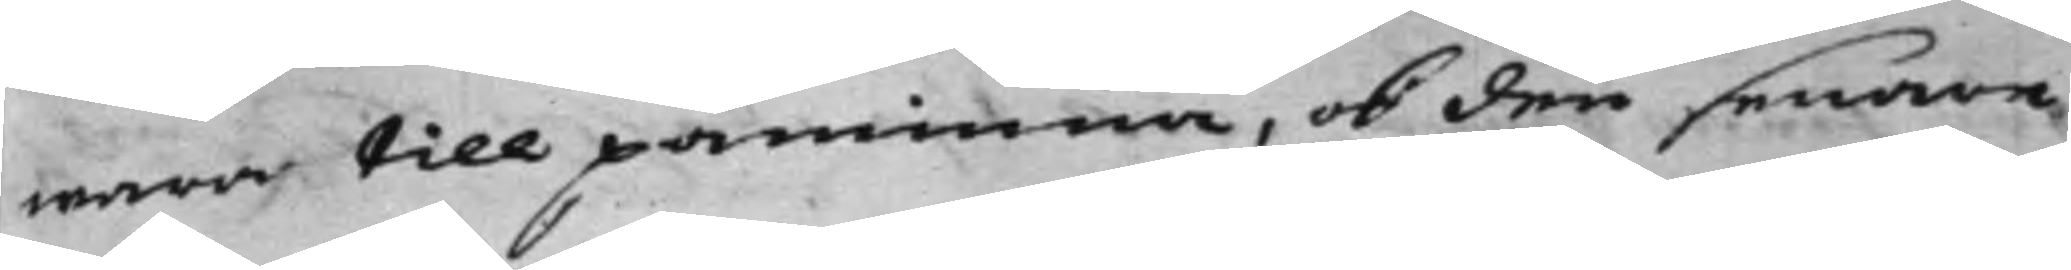wara till påminna, ok den senare
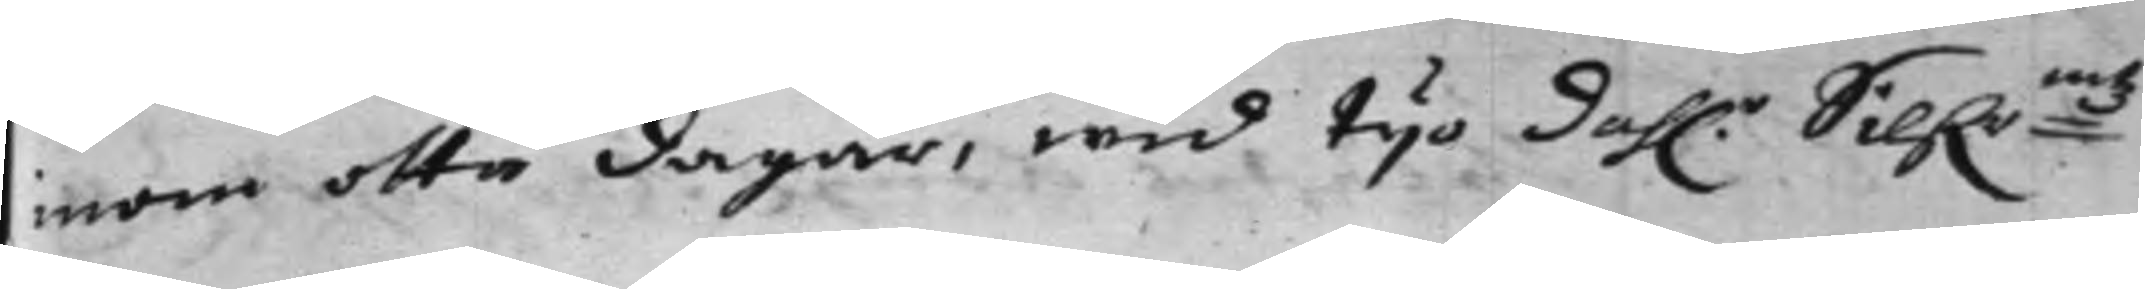inom otta dagar, wid tijo dah.r Silf.r:mtz
